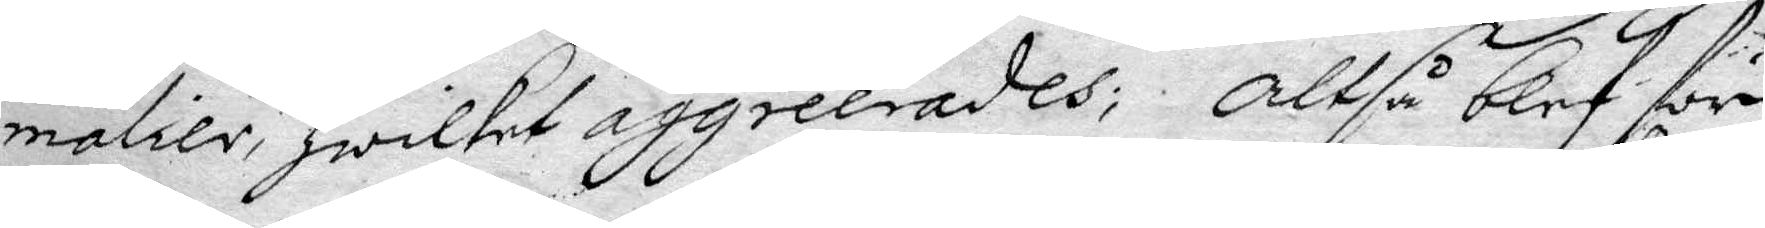malier, Hwilket aggreerades; Altså blef för
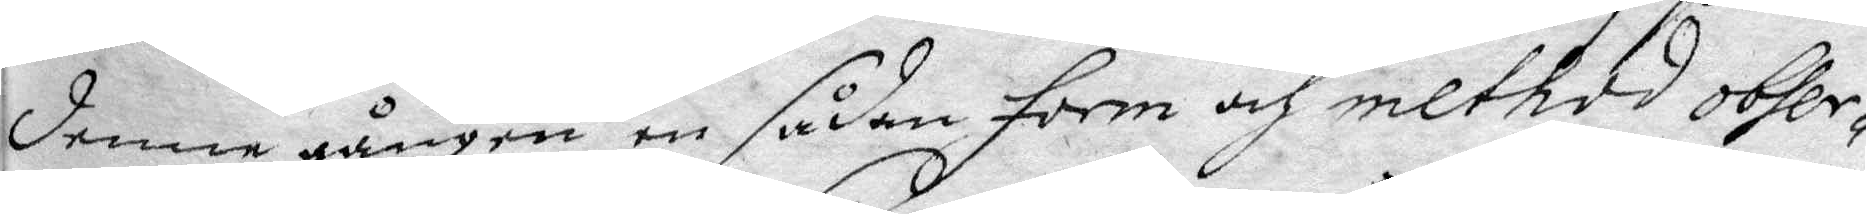denne gången en sådan form och method obser¬
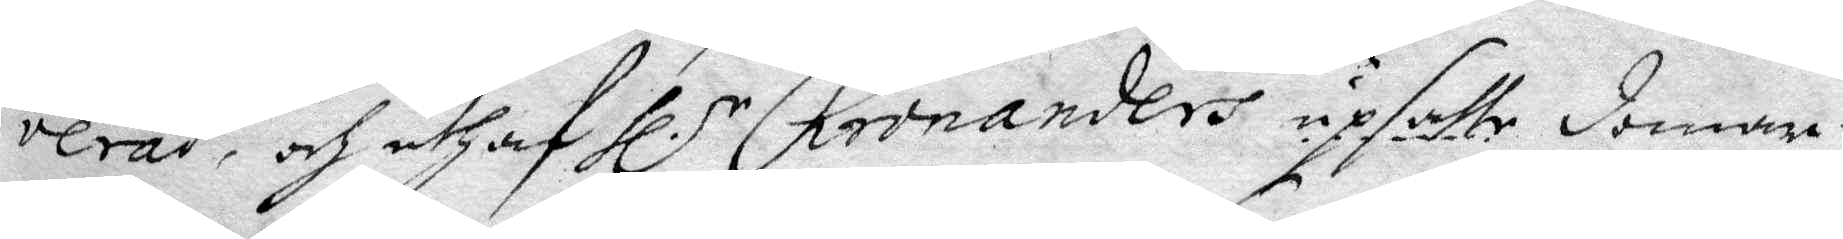verad, och uthaf Hl.r Kronanders upsatte domar
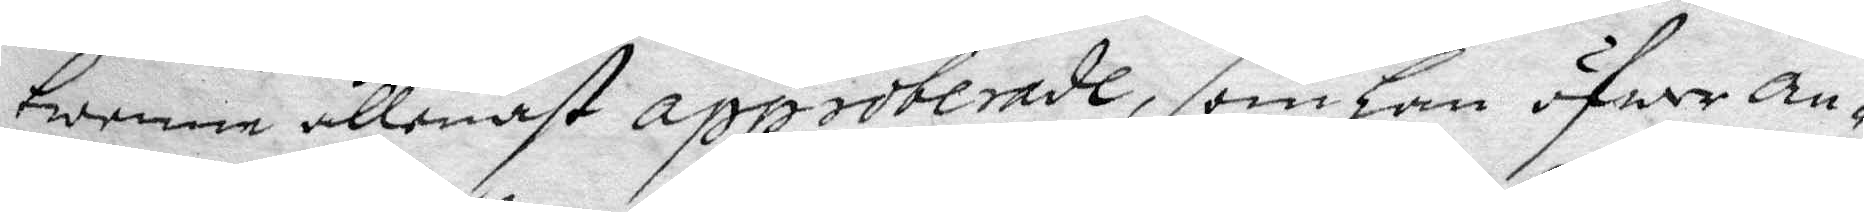twenne allenast approberade, som Han öfwer an¬
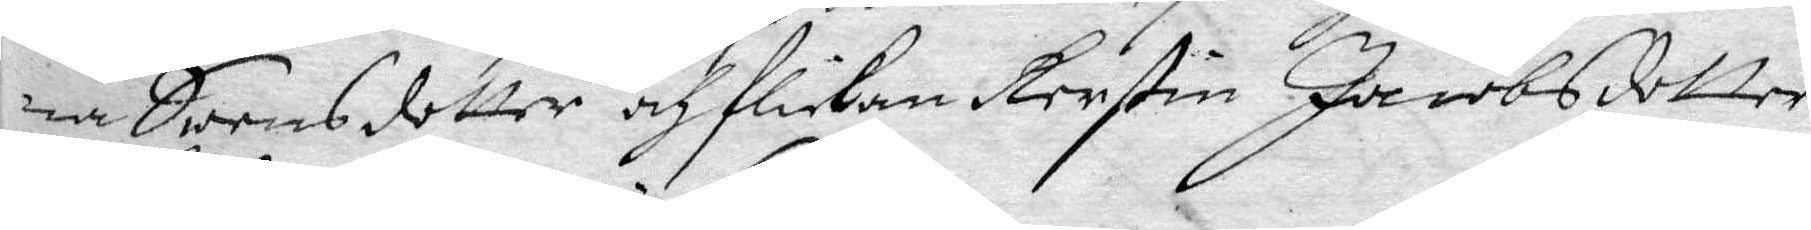na Swensdotter och flickan Kerstin Jacobsdotter
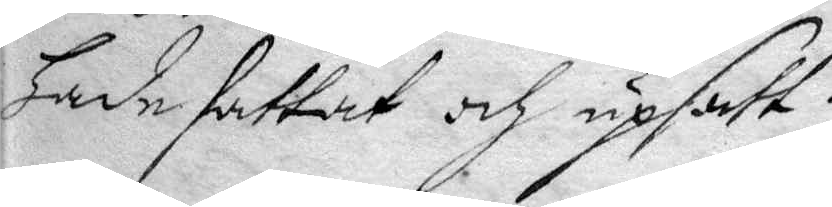Hade fattat och upsatt.
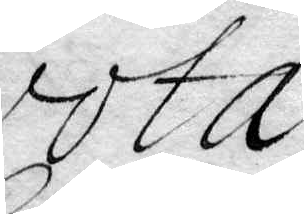vota
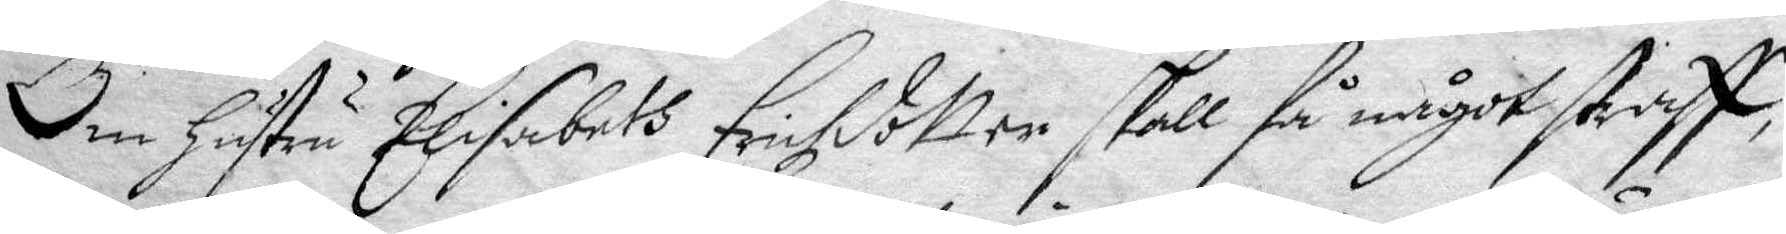Om Hustru Elisabeth Erihzdotter skall få något straff,
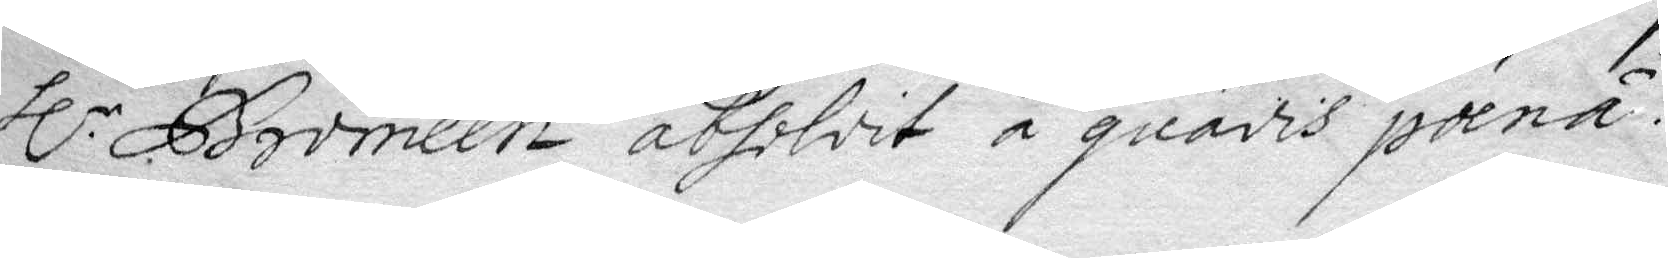Hl.r Bromeen absolvit å quadis pænä.
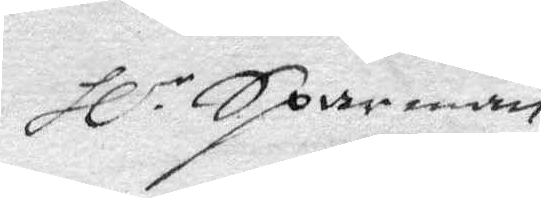Hl.r Sparrman
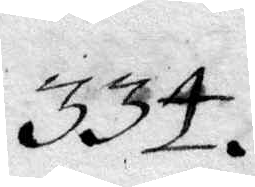334.
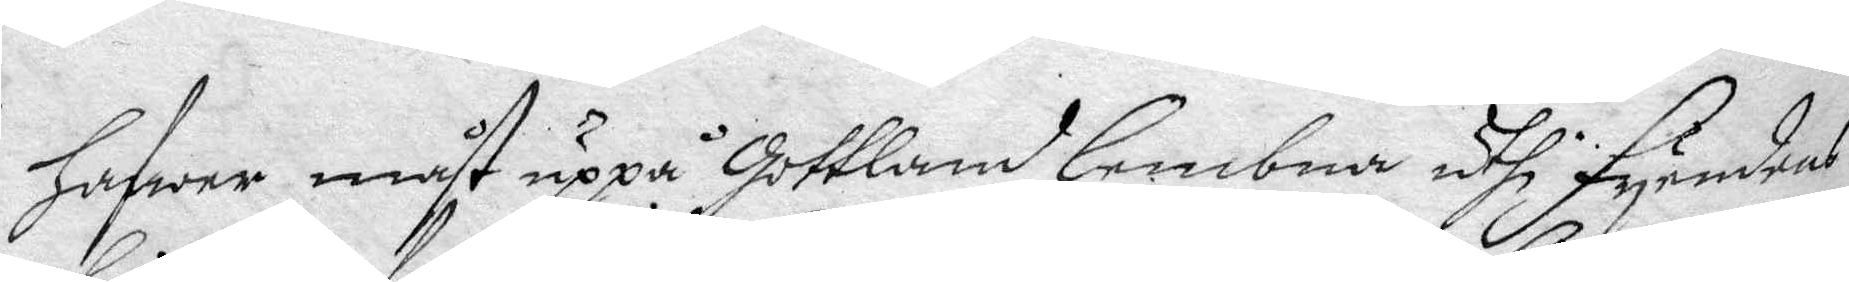hafwer måst uppå Gottland lembna uthi Fyendens
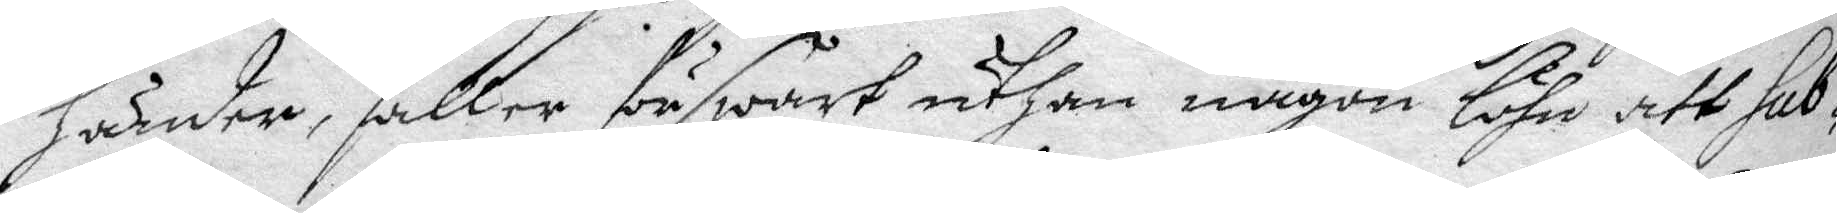händer, faller förswårt uthan någon löhn att sub¬
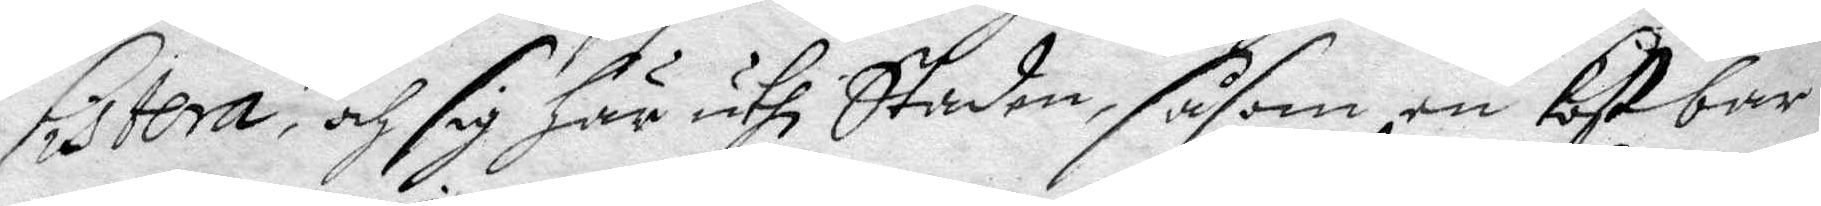sistera, och sig här uthi Staden, såsom en Kostbar
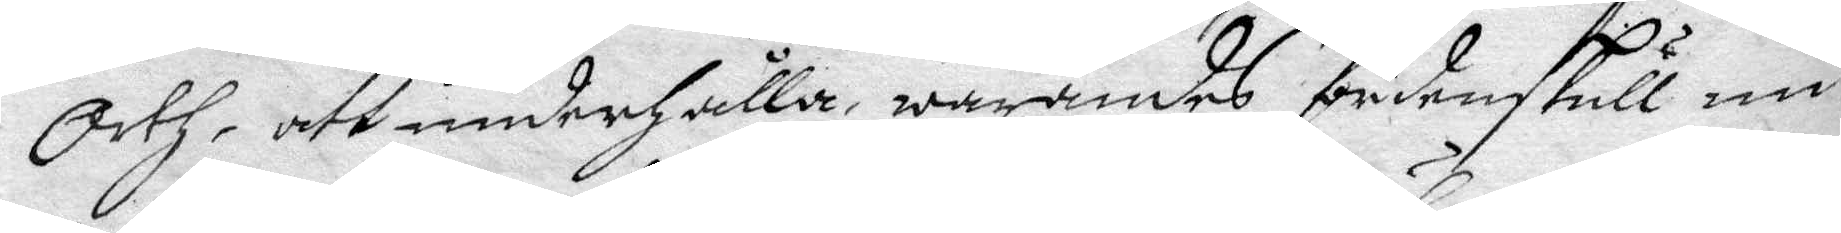Orth, att underhålla, warandes fördenskull nu
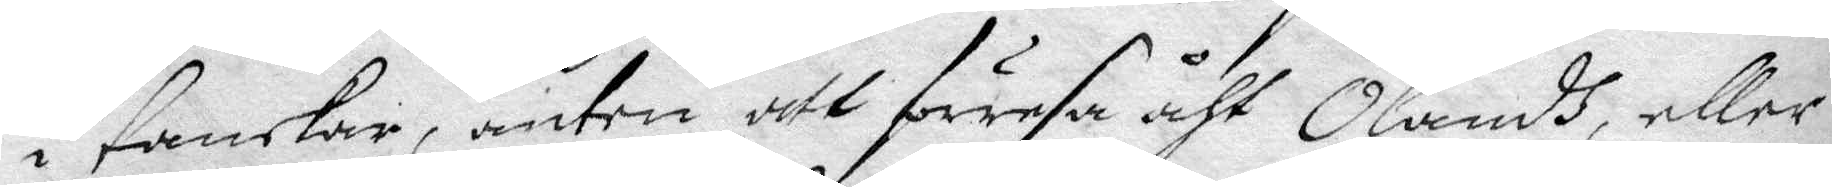i tankar, anten att förresa åth Ölandh, eller
